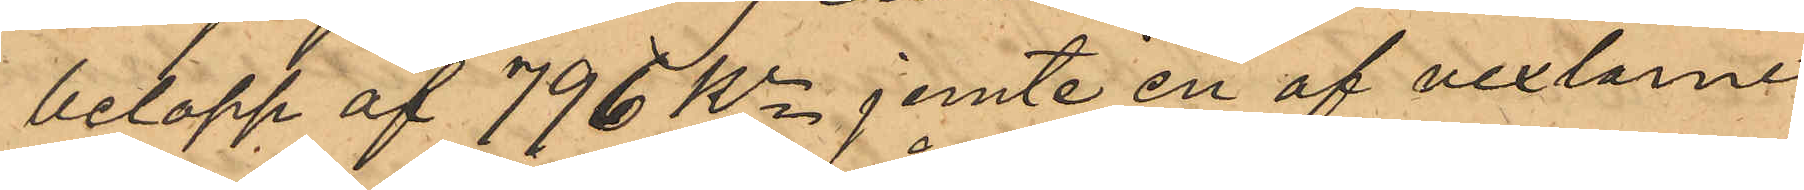belopp af 796 Kr jemte en af vexlarne
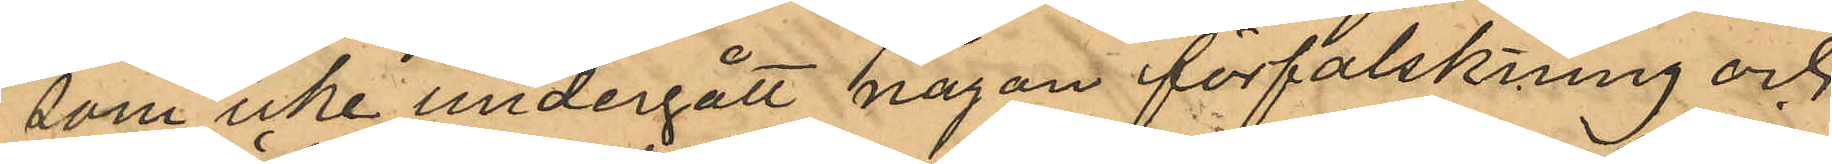som icke undergått någon förfalskning och
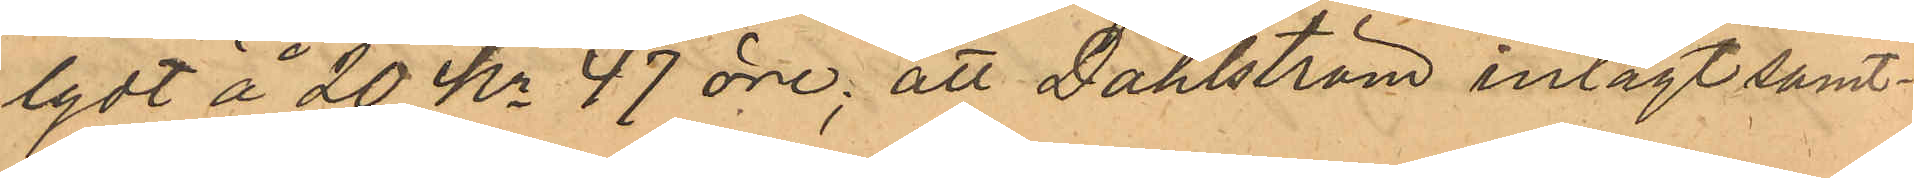lydt å 20 Kr 47 öre; att Dahlström inlagt samt¬
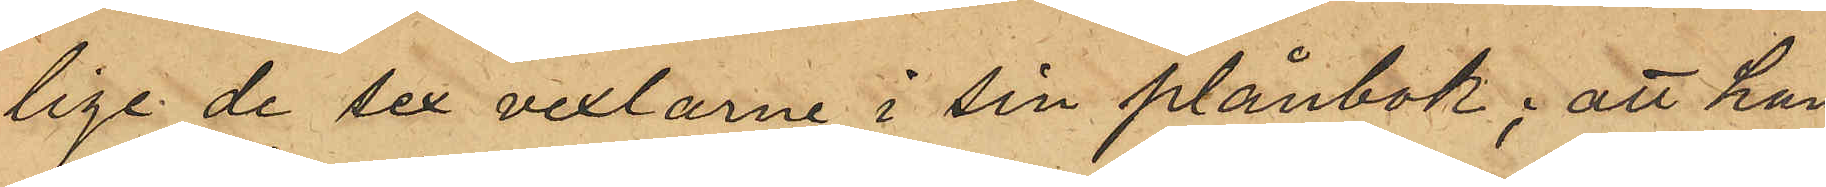lige de sex vexlarne i sin plånbok; att han
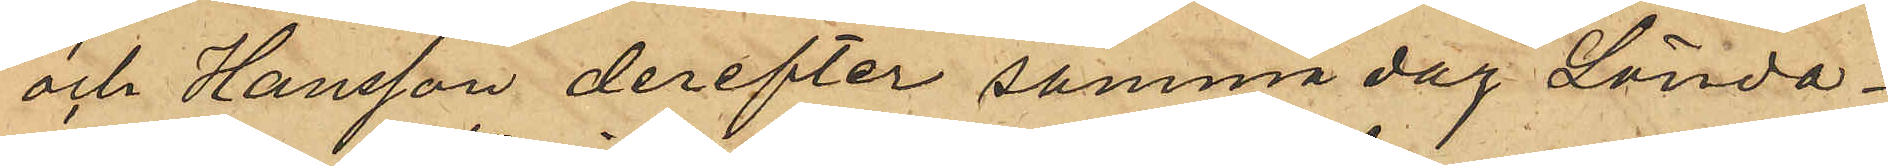och Hansson derefter samma dag Sönda¬
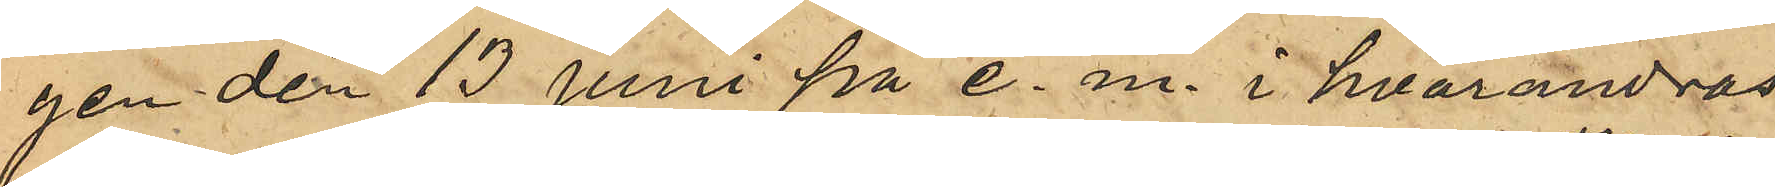gen den 13 Juni på e. m. i hvarandras
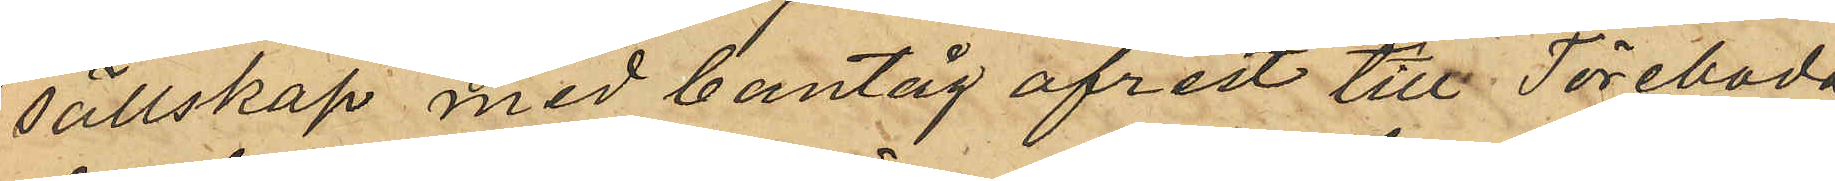sällskap med bantåg afrest till Töreboda,
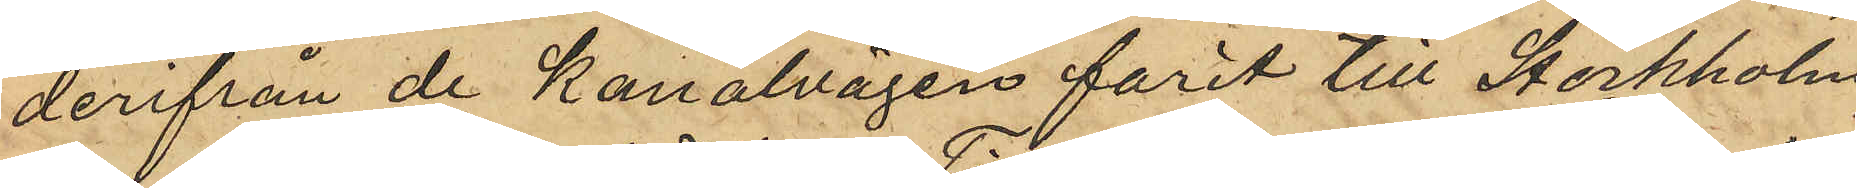derifrån de kanalvägen farit till Stockholm
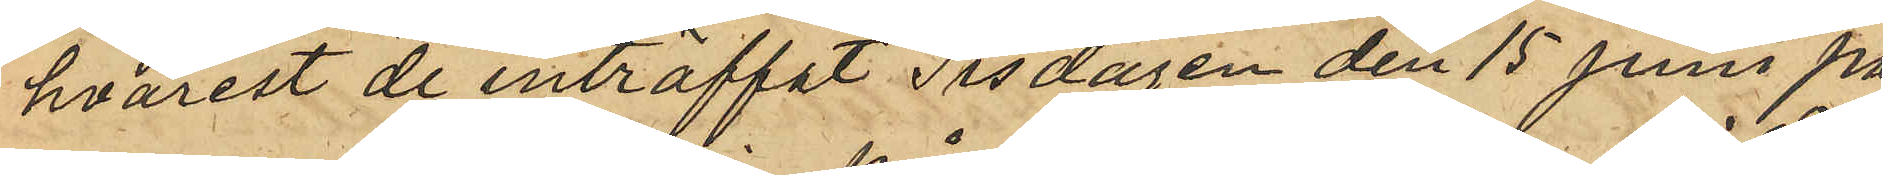hvarest de inträffat Tisdagen den 15 Juni på
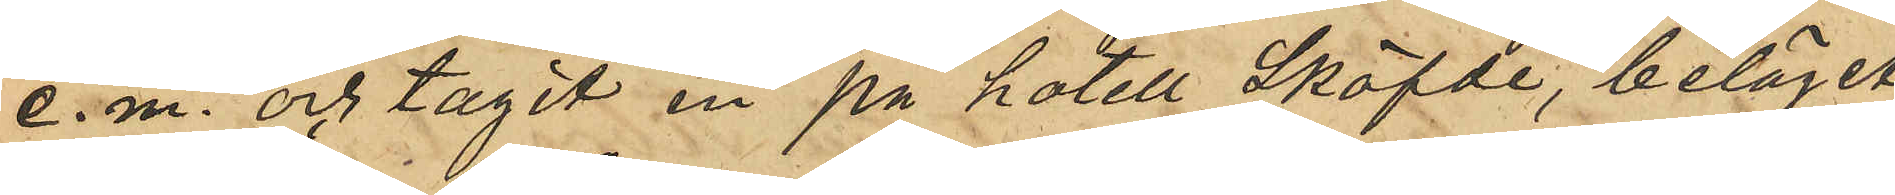e.m. och tagit in på hotell Sköfde, beläget
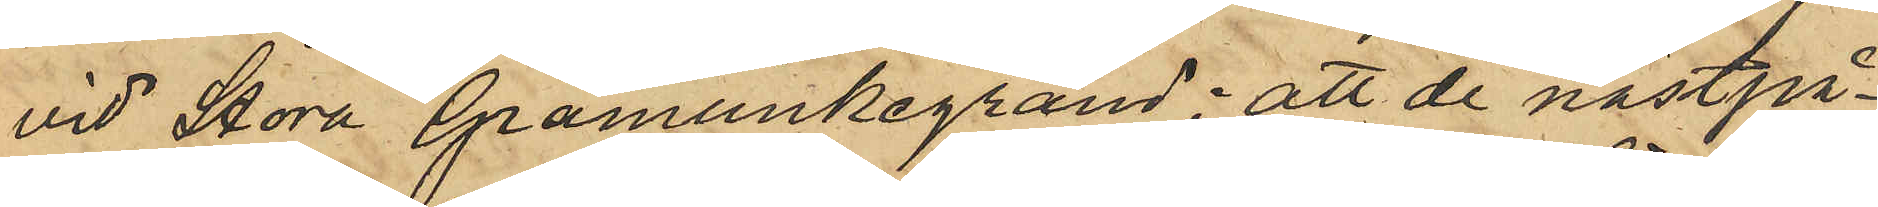vid Stora Gråmunkegränd; att de nästpå¬
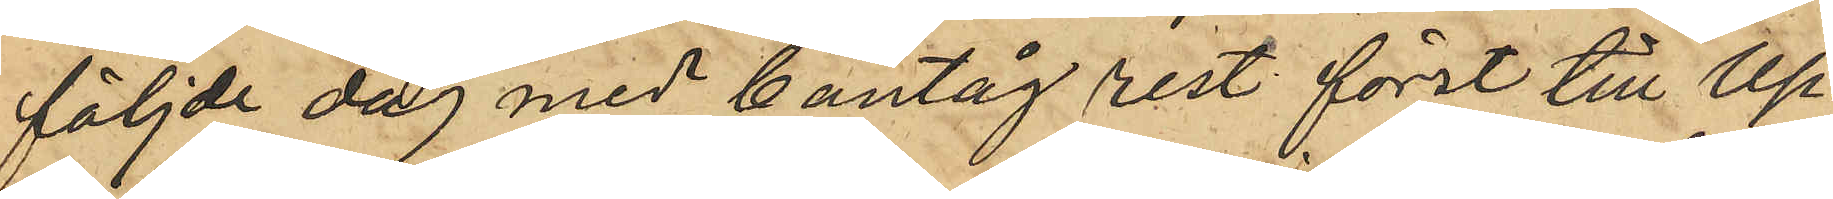följde dag med bantåg rest först till Up¬
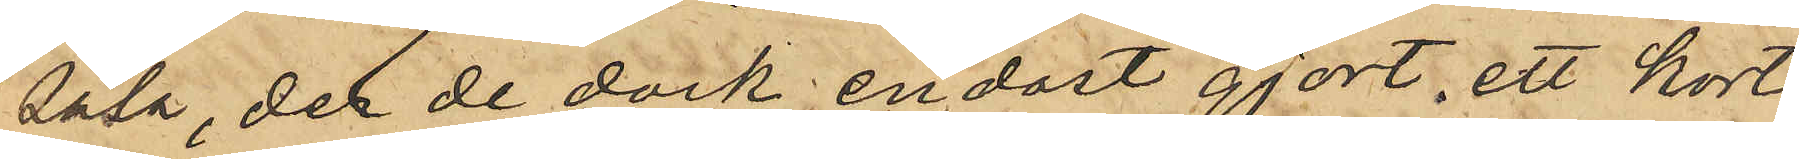sala, del de dock endast gjort ett kort
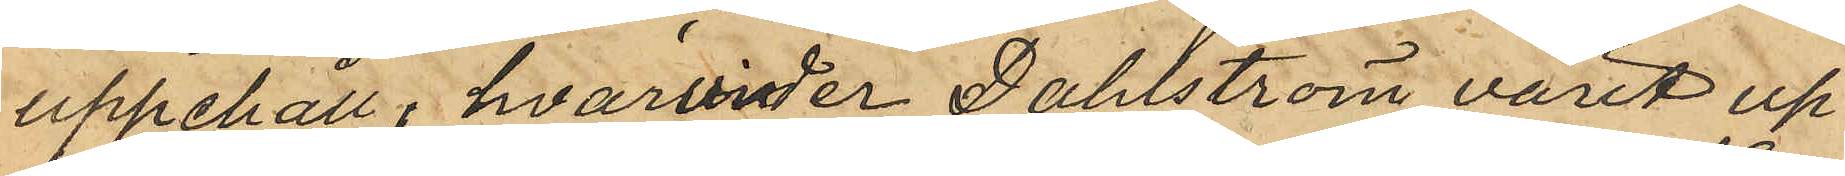uppehåll, hvarunder Dahlström varit up¬
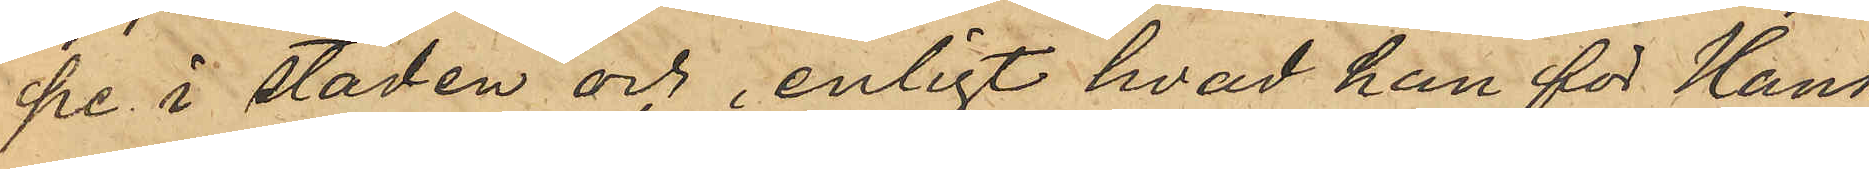pe i staden och, enligt hvad han för Hans¬
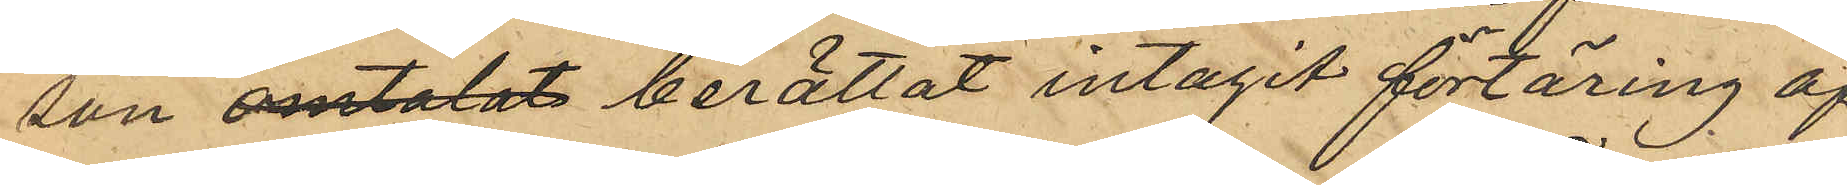son omtalat berättat intagit förtäring af
